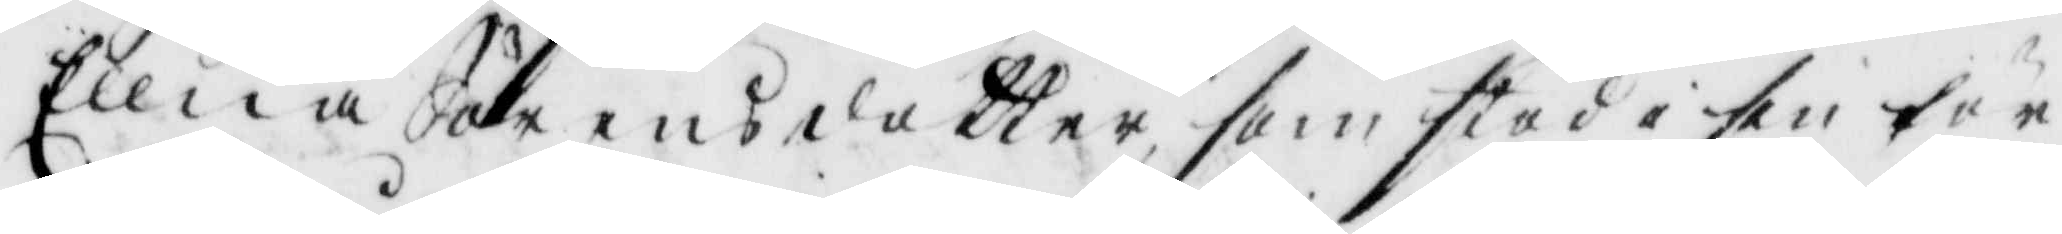Ellna Jöransdotter, som stod i sin för¬
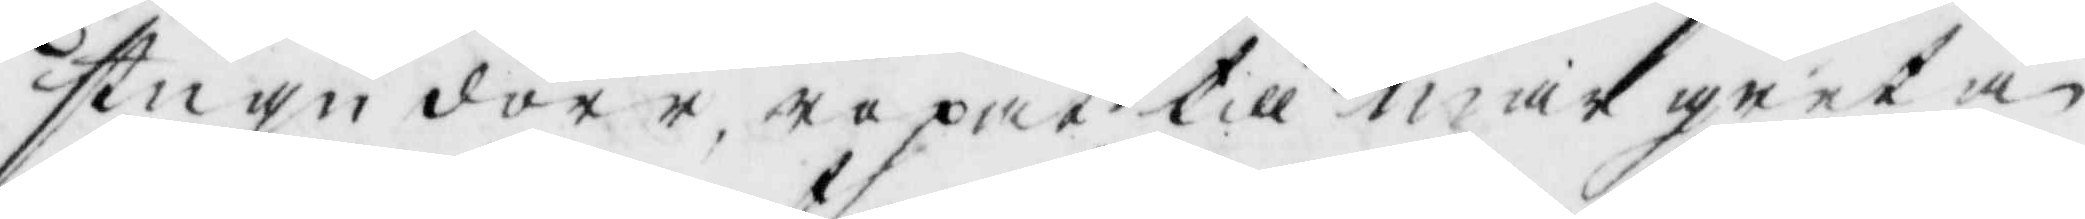stugu dörr, ropat till margreta
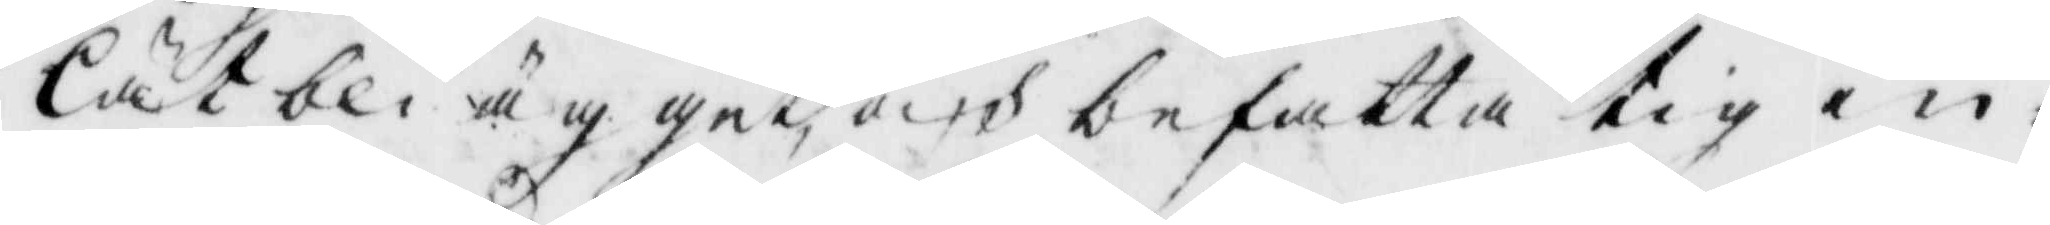låt bli ägget, och befatta tig in¬
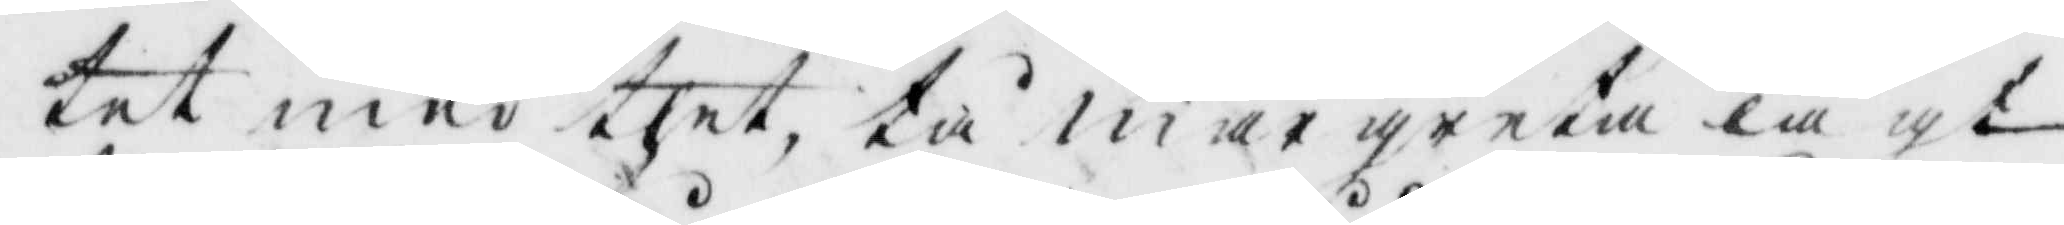tet med thet, tå margreta lagt
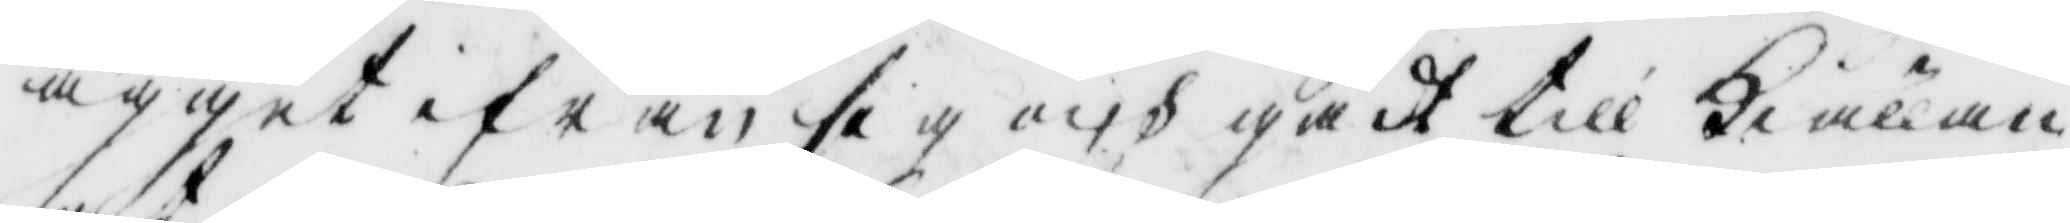ägget ifrån sig och gådt till kiällan
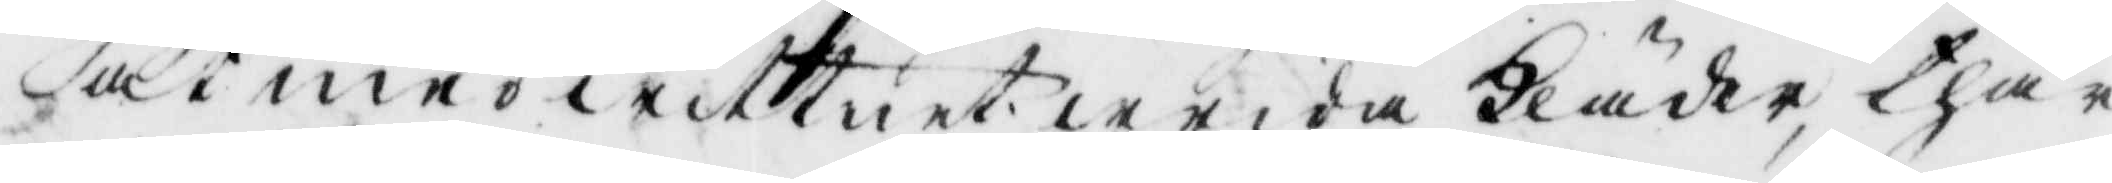at med wittnet wrida Kläder, thär¬
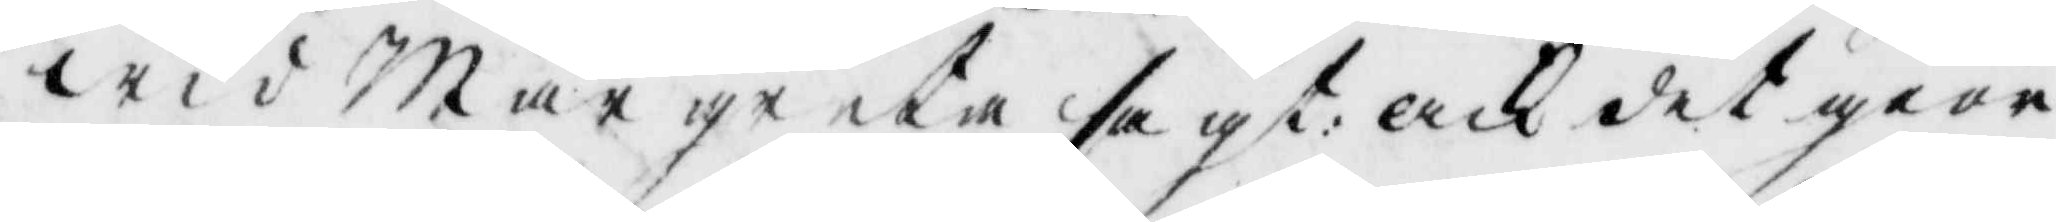wid margreta sagt: ack det giör
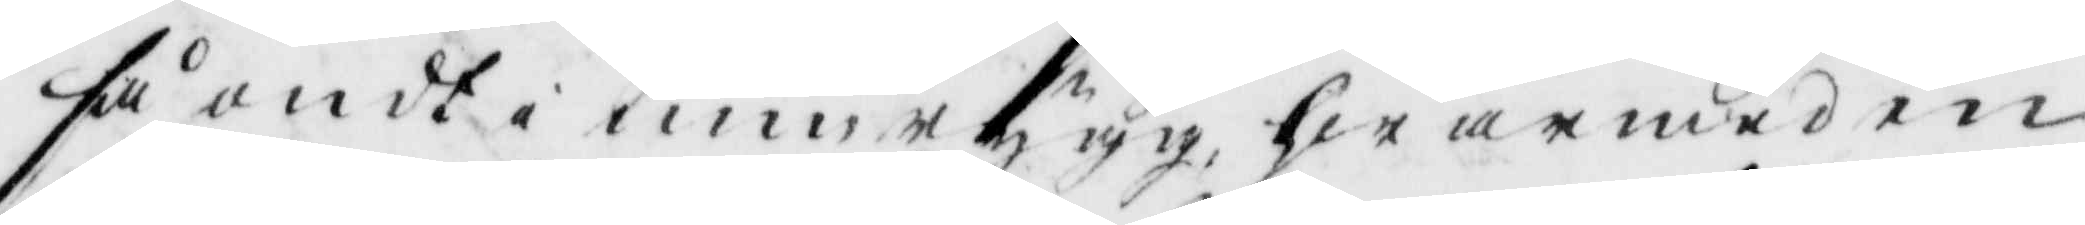så ondt i min rygg, hwarmed en
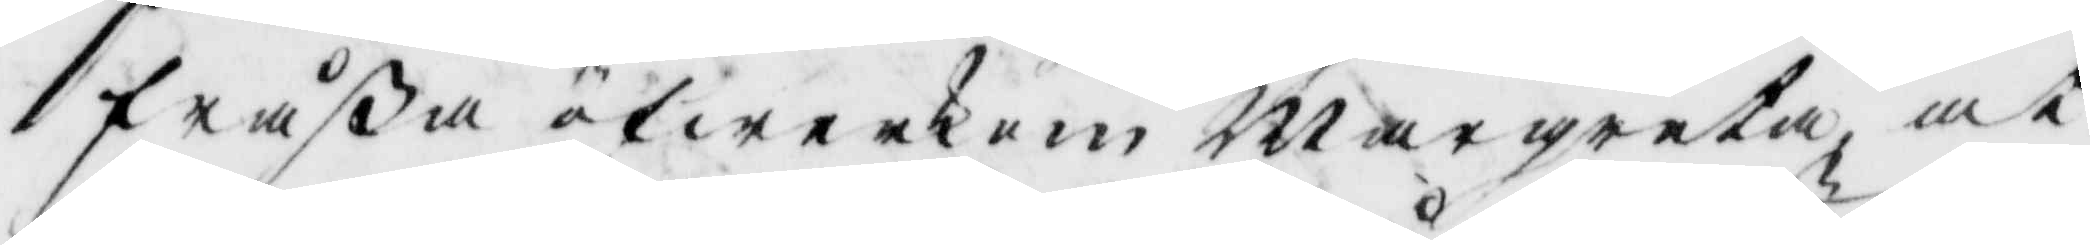fråßa öfwerkom margreta, at
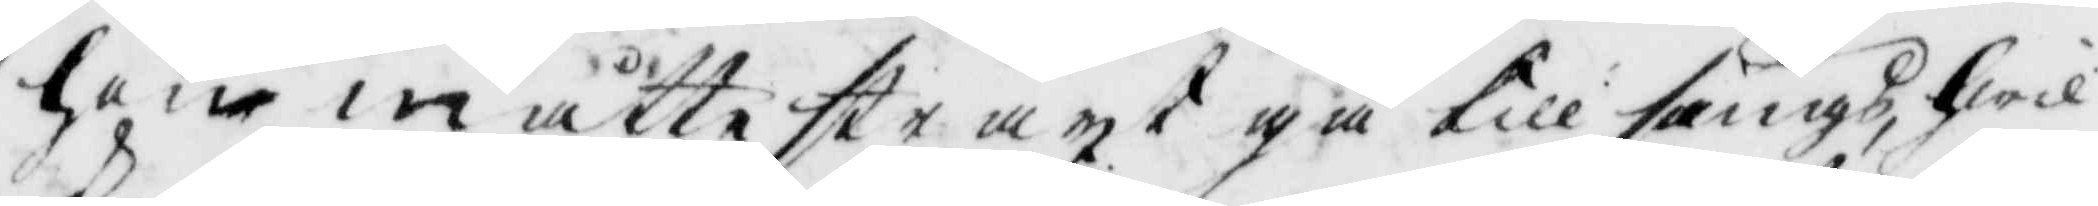hon måtte straxt gå till sängs, hwil¬
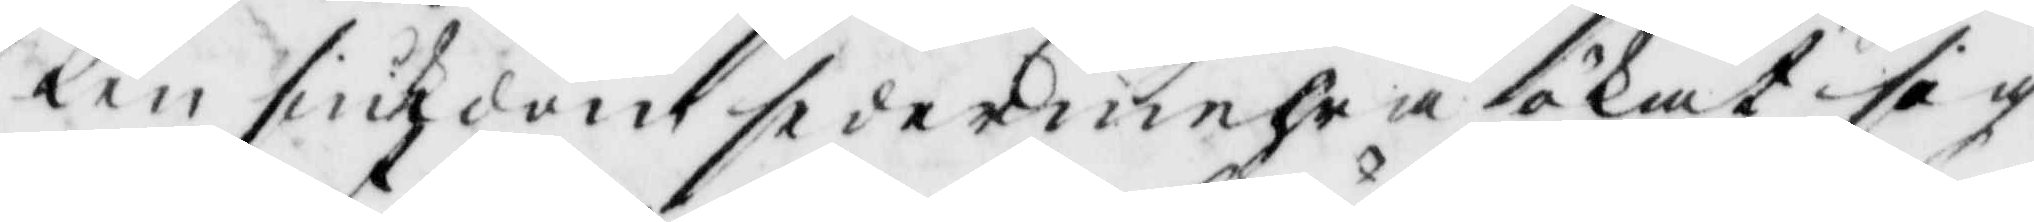ken siukdom dedermehra ökat sig
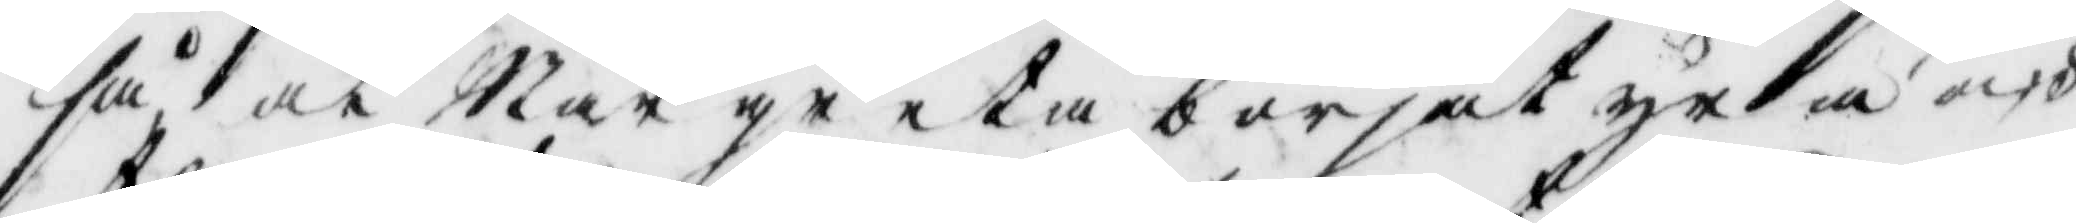så at Margreta börjat yra och
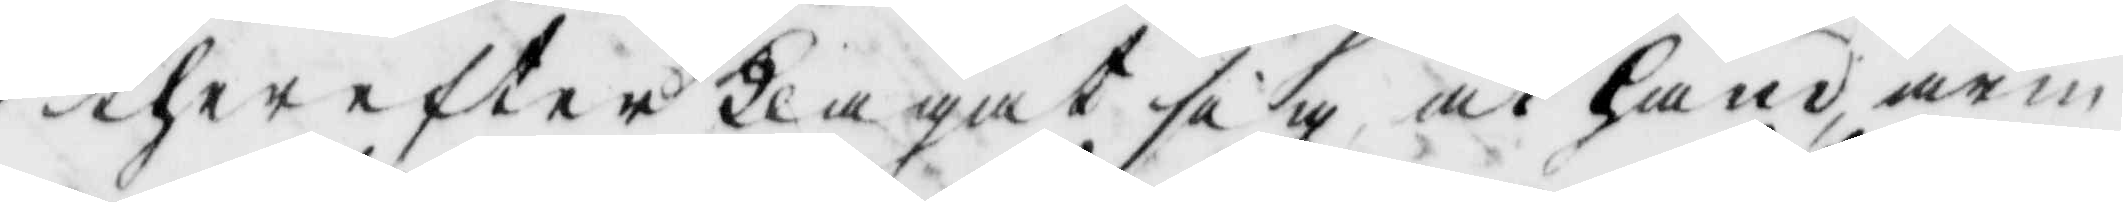therefter Klagat sig at hand, arm
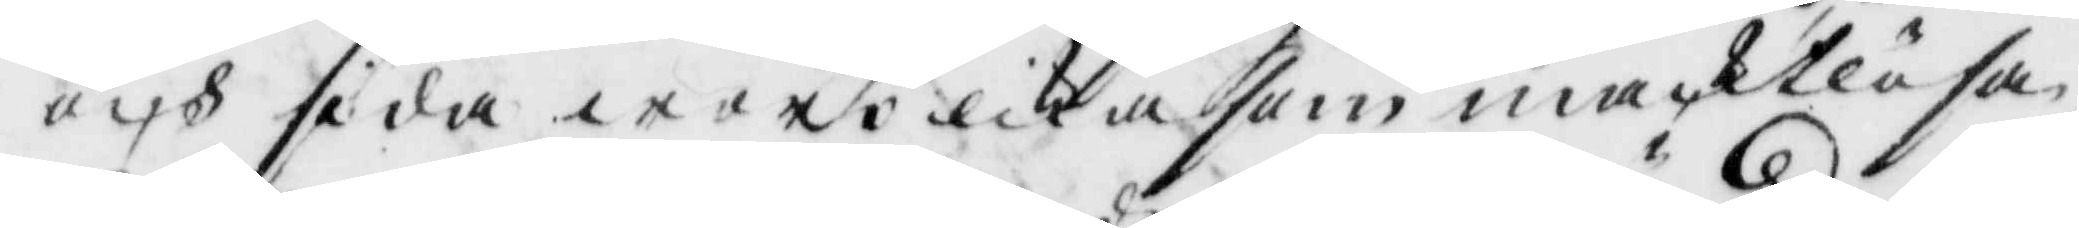och sida woro likasom maktlösa.
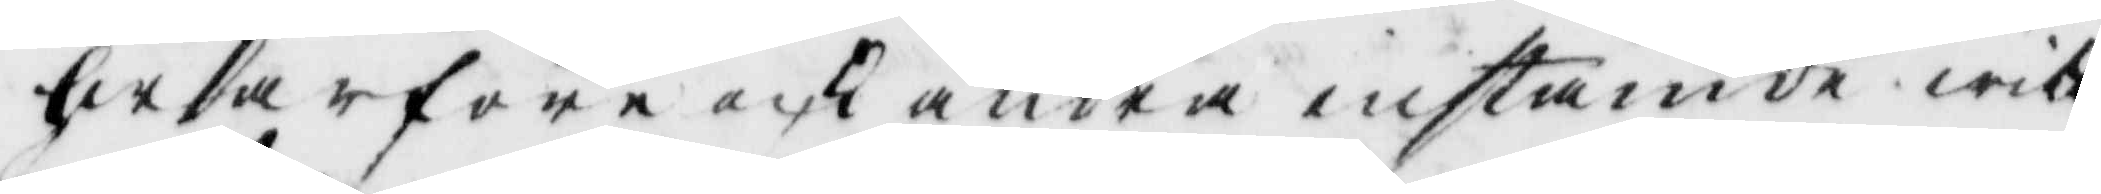hwarföre och andra instämde witt¬
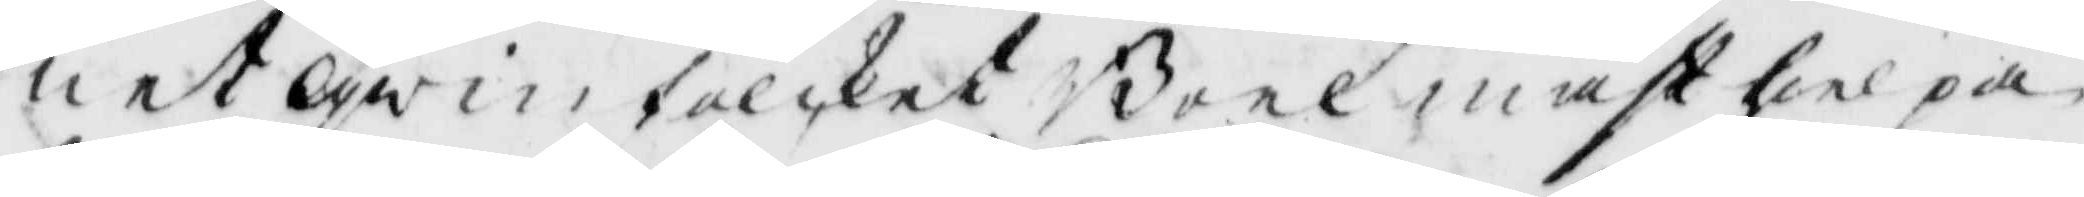net qwinfolcket Boel måst hielpa
